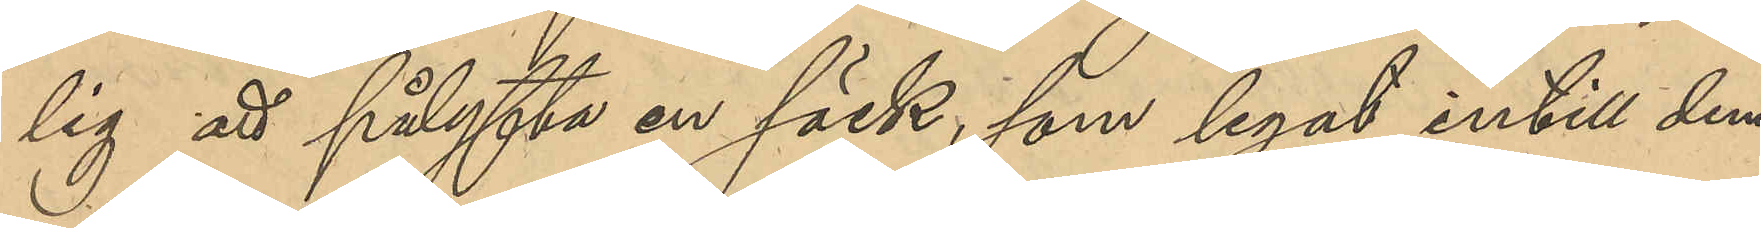lig att pålyfta en säck, som legat intill dem
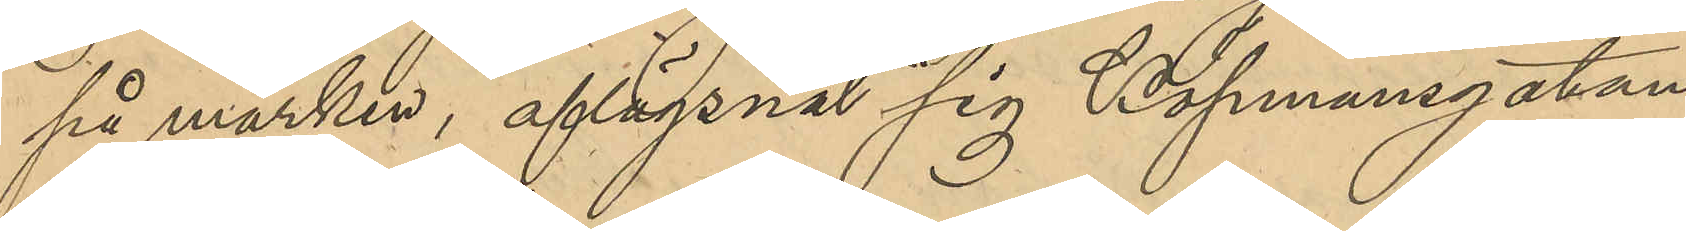på marken, aflägsnat sig Köpmansgatan
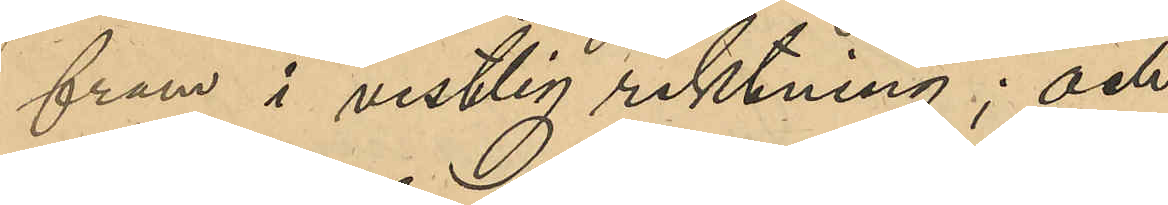fram i vestlig riktning; och
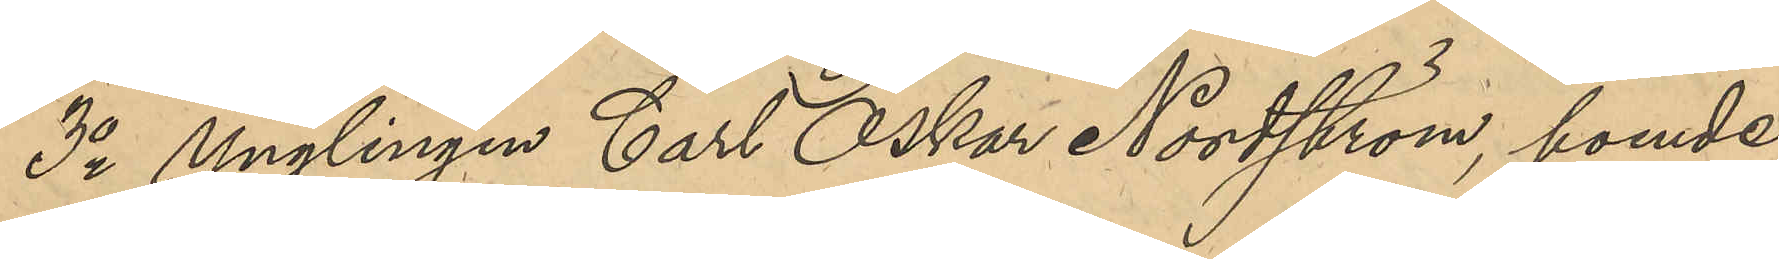3o Ynglingen Carl Oskar Nordström, boende
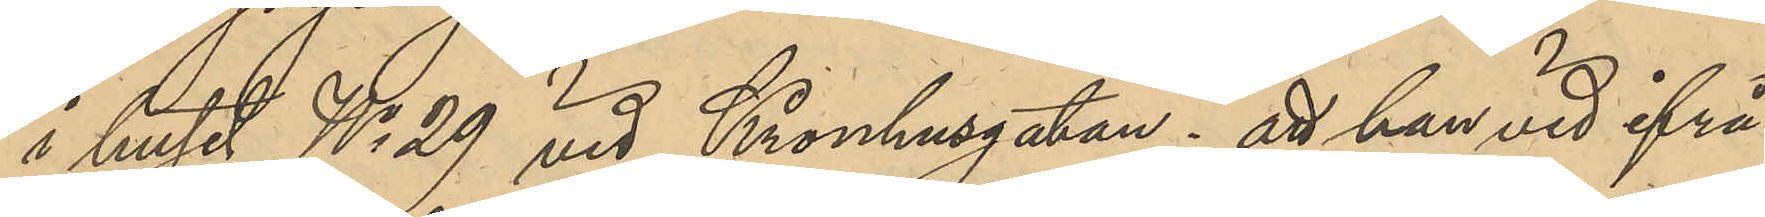i huset No 29 vid Kronhusgatan: att han vid ifrå¬
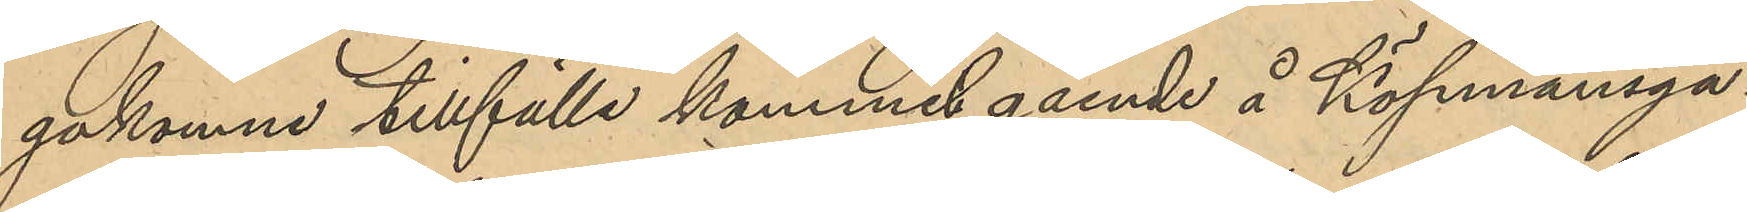gakomne tillfälle kommit gående å Köpmnasga¬
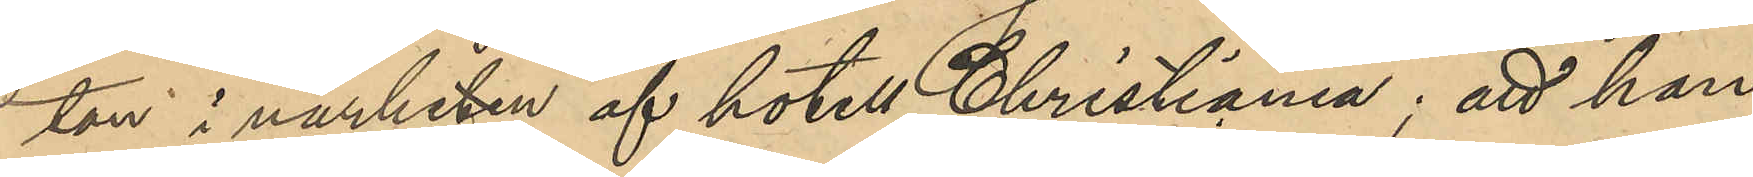tan i närheten af hotell Christiania; att han der
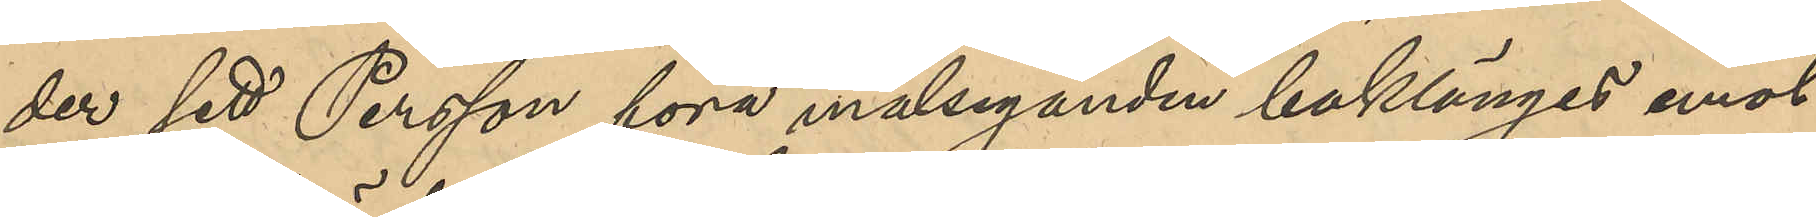sett Persson föra målseganden baklänges emot
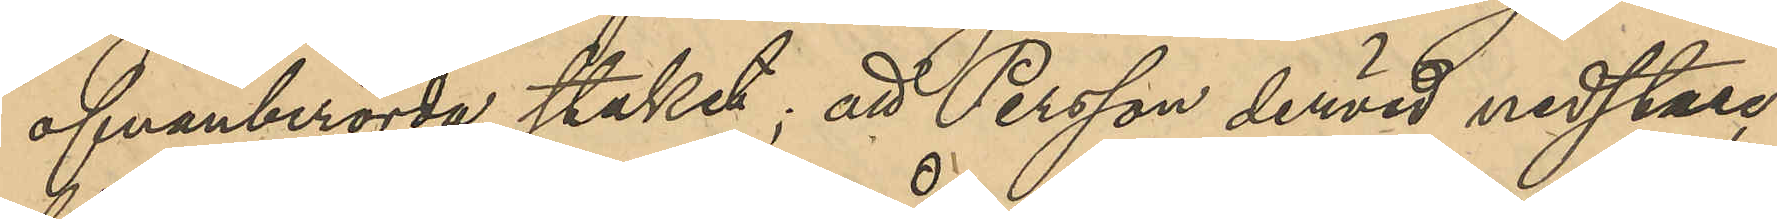ofvanberörde staket; att Persson dervid nedstuc¬
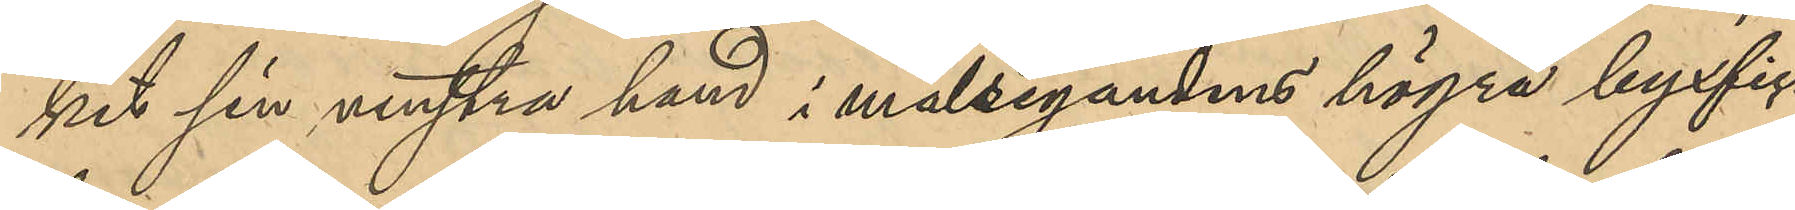kit sin vesntra hand i målsegandens högra byxfic¬
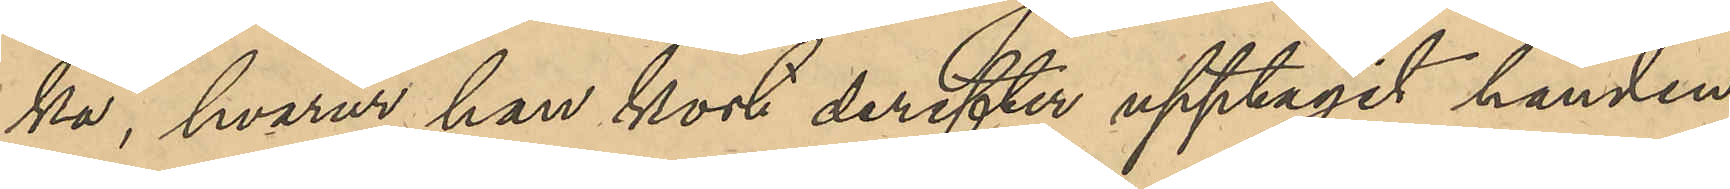ka, hvarur han kort derefter upptagit handen,
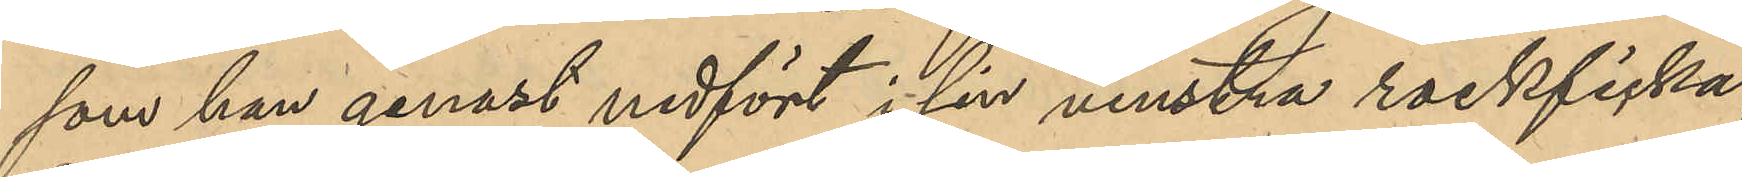som han genast nedfört i sin venstra rockficka;
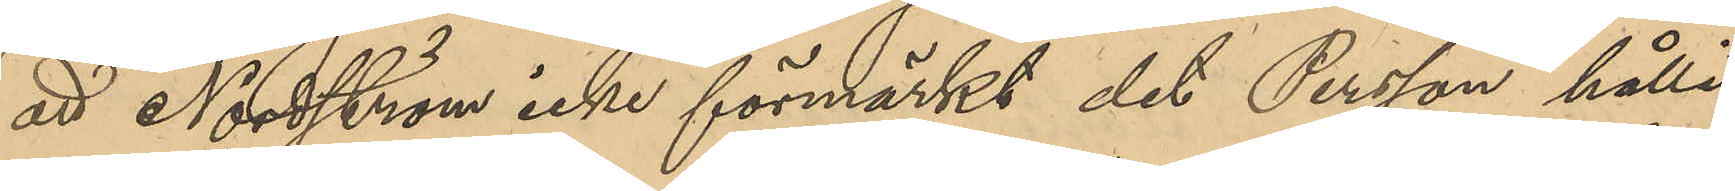att Nordström icke förmärkt det Person hållit
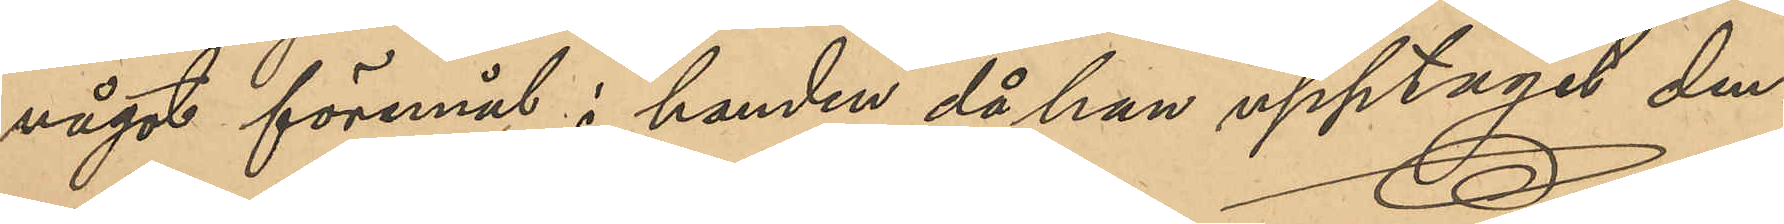något föremål i handen då han upptagit den,
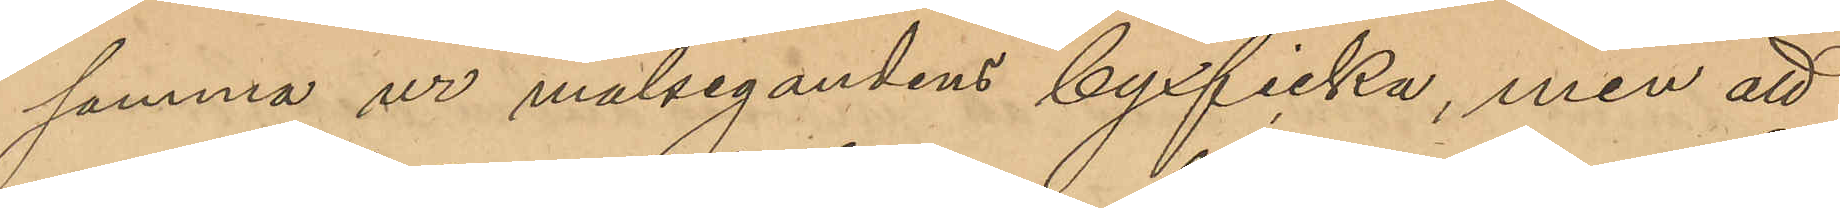samma ur målsegandens byxficka, men att
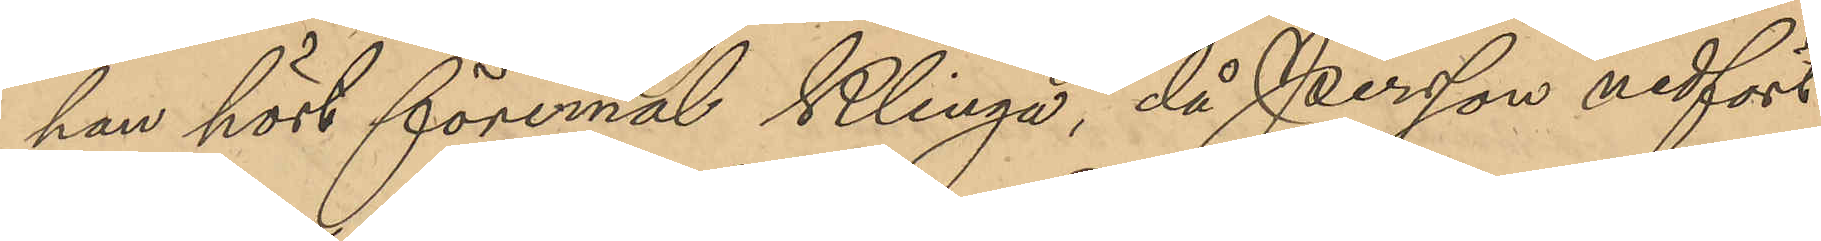han hört föremål klinga, då Persson nedfört
